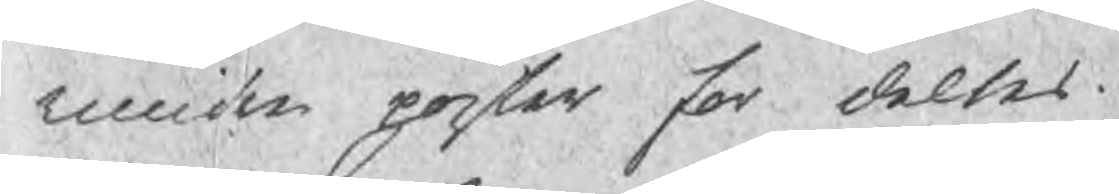mindre poster for deltes.
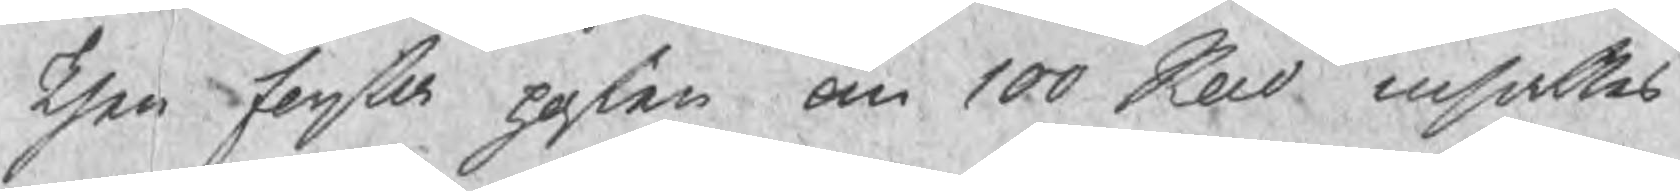Then forsta posten om 100 Skd utsattes
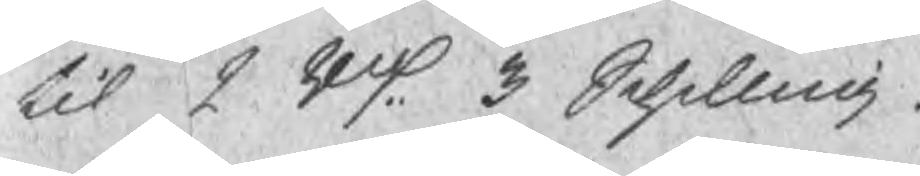til 2 Rd 3 Schilling.
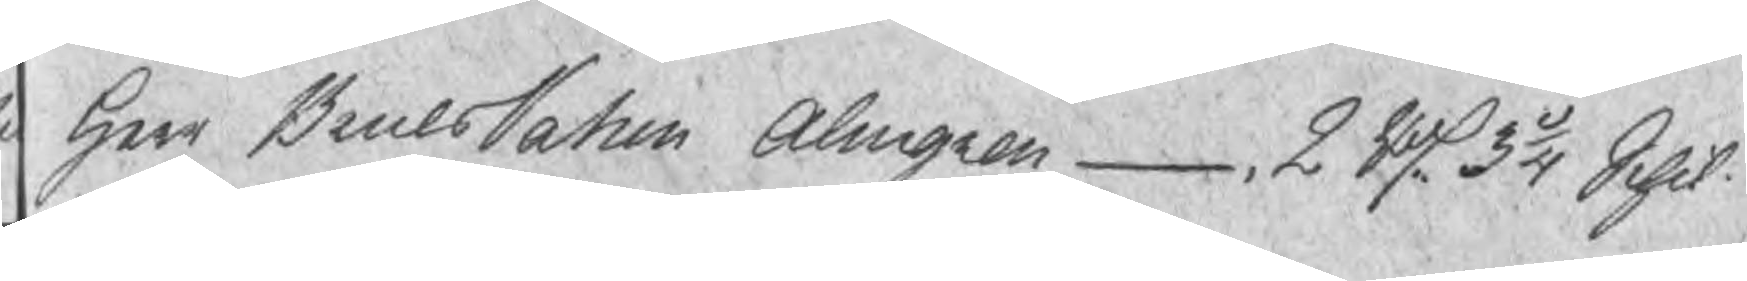2 Rd 7 3/4 Sch. Hogsta Bu  Herr BruksPatron Almgren  2 Rd 3 1/4 Schil
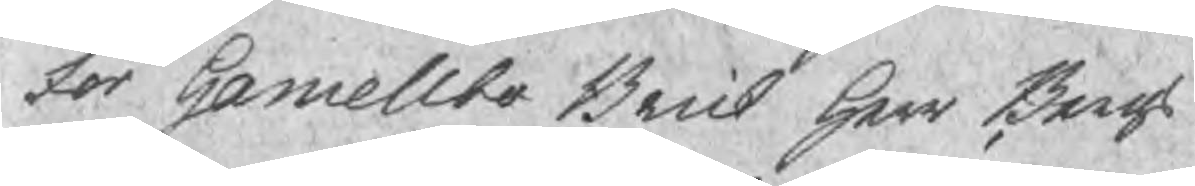for Gamellbo Bruk Herr Bergs¬
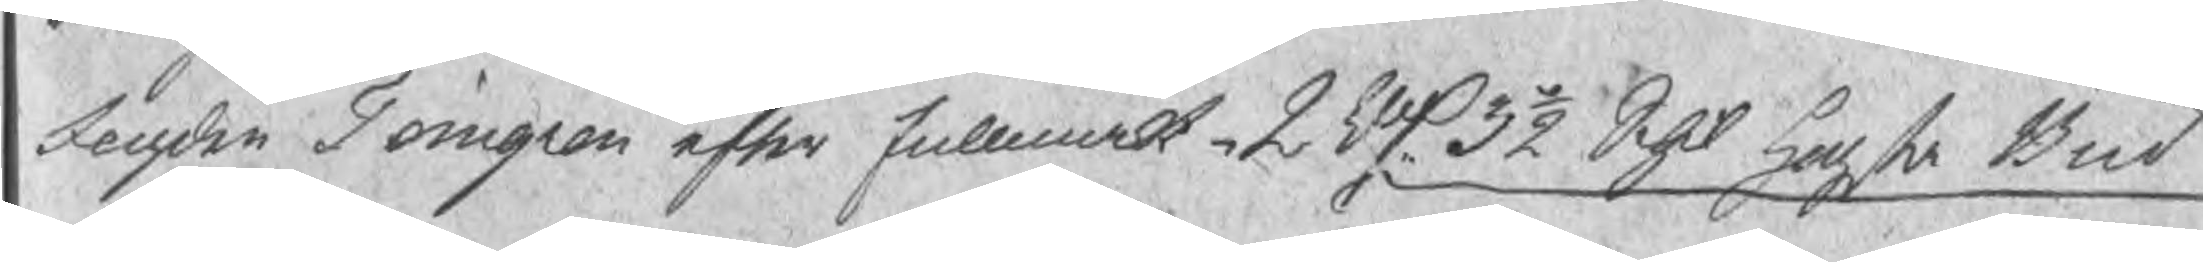fogden Törngren efter fullmakt 2 Rd 3½ Schil Hogsta Bud
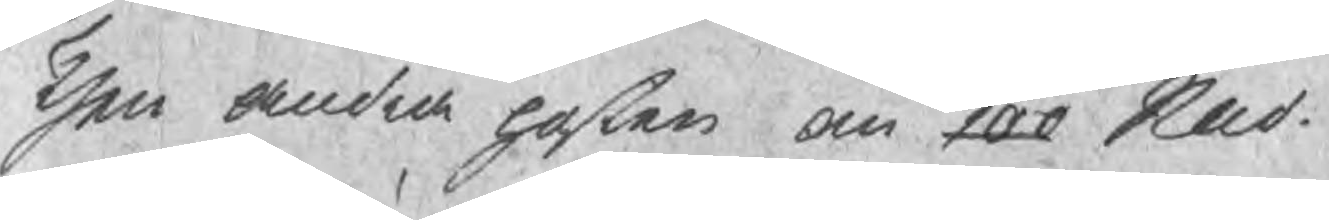Then andra posten om 100 Sknd
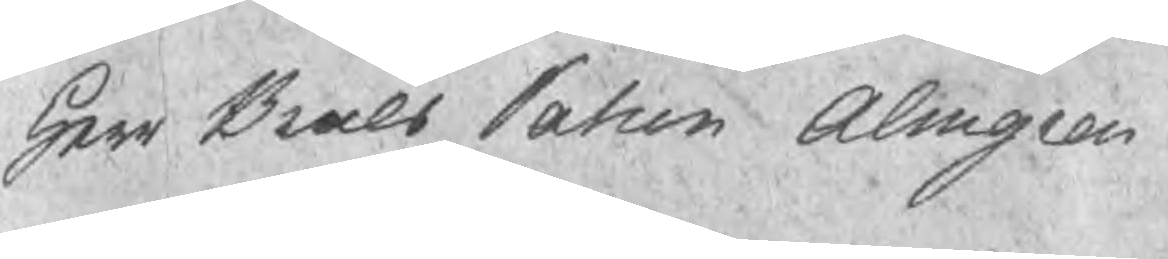Herr Bruks Patron Almgren
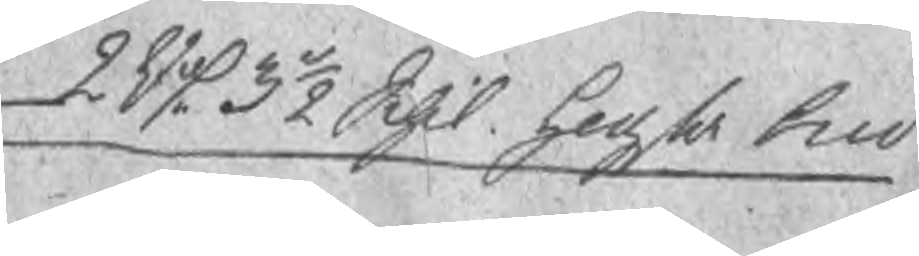2 Rd 3½ Schil Hogsta bud
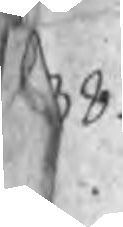38.
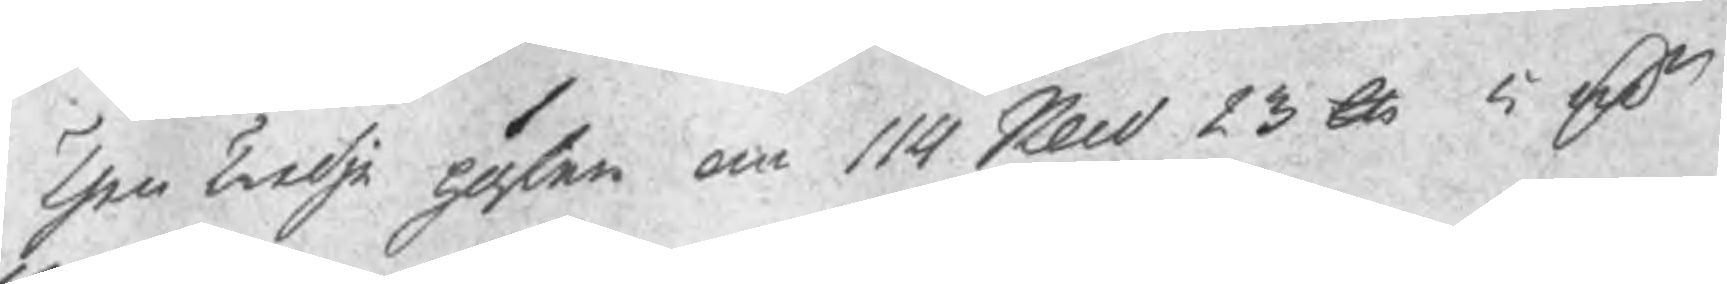Then tredje posten om 114 Skd 23 lb 5 rsr
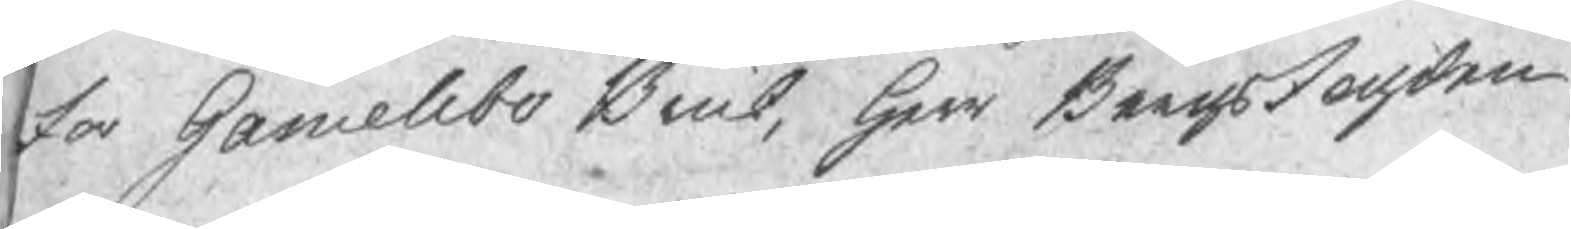for Gamellbo Bruk, Herr Bergsfogden
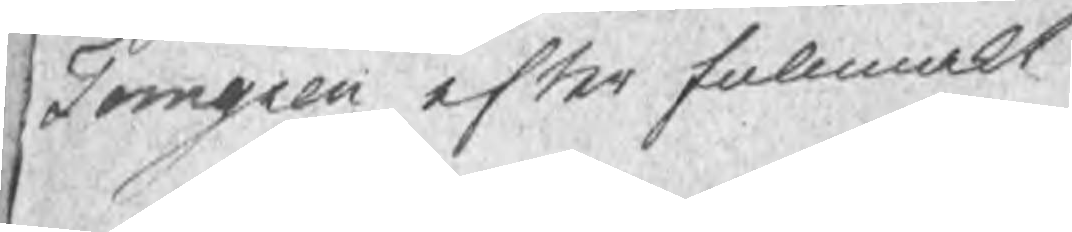Torngren efter fullmakt
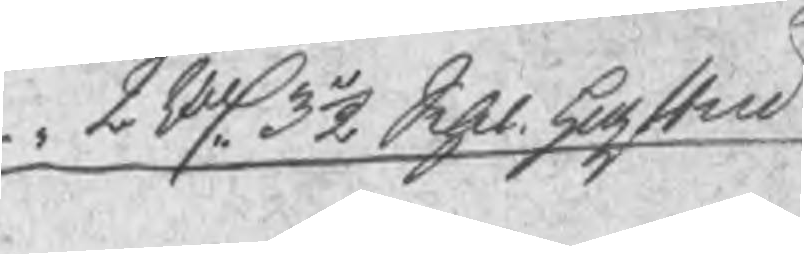2 Rd 3½ Schil hogsten
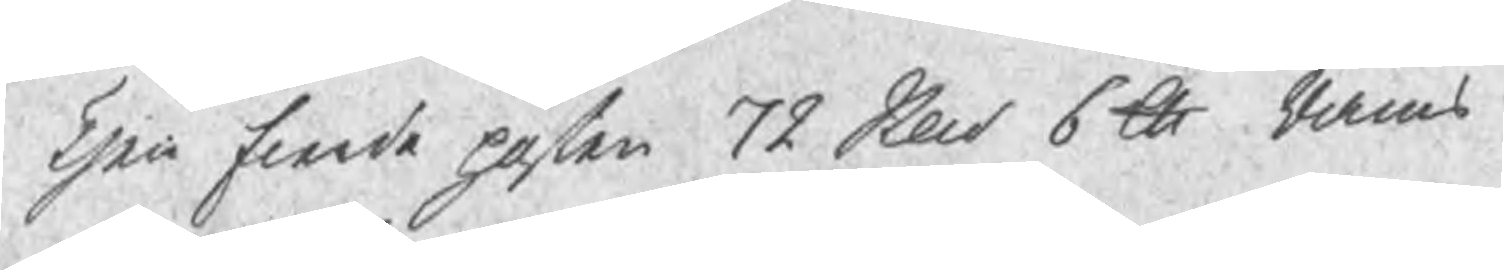Then fierde posten 78 Sked 6 ld Rams
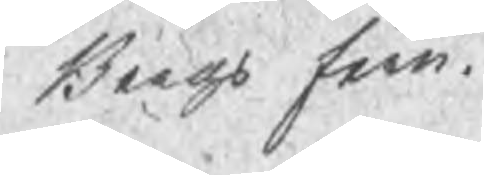Bergs Jern.
